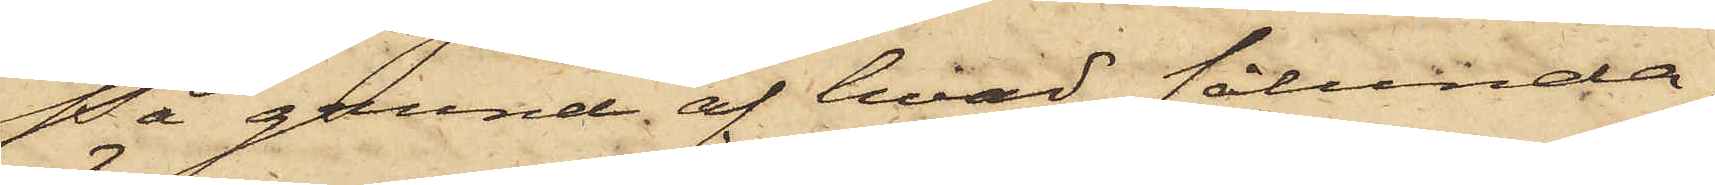På grund af hvad sålunda
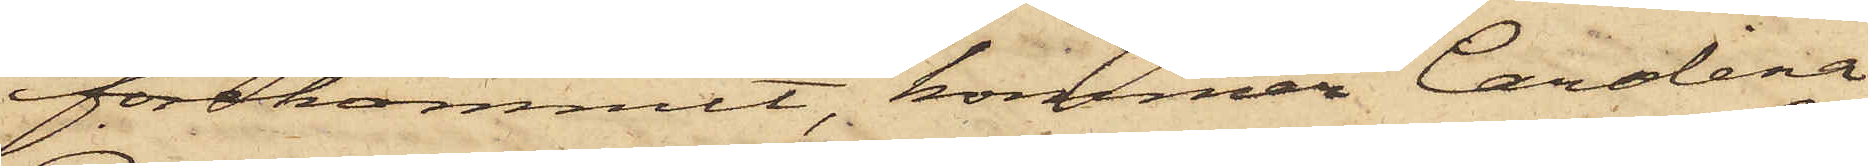förekommit, kommer Carolina
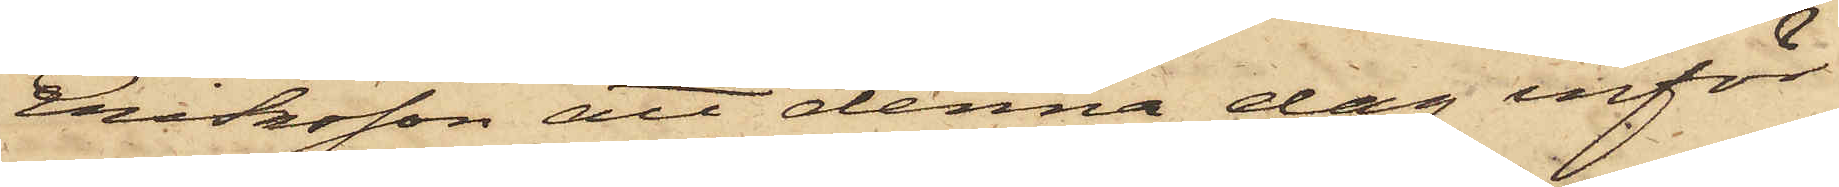Eriksson att denna dag inför
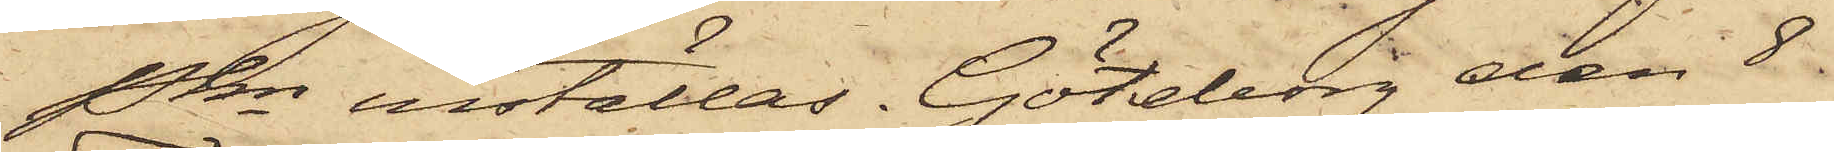Pkn inställas. Göteborg den 8
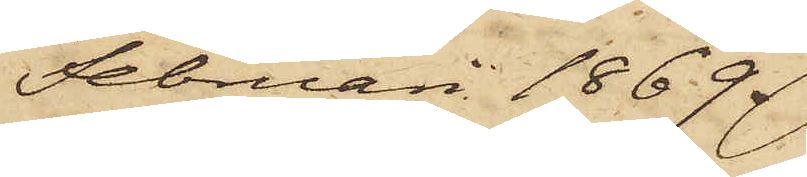Februari 1869.
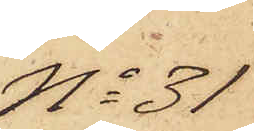No 31
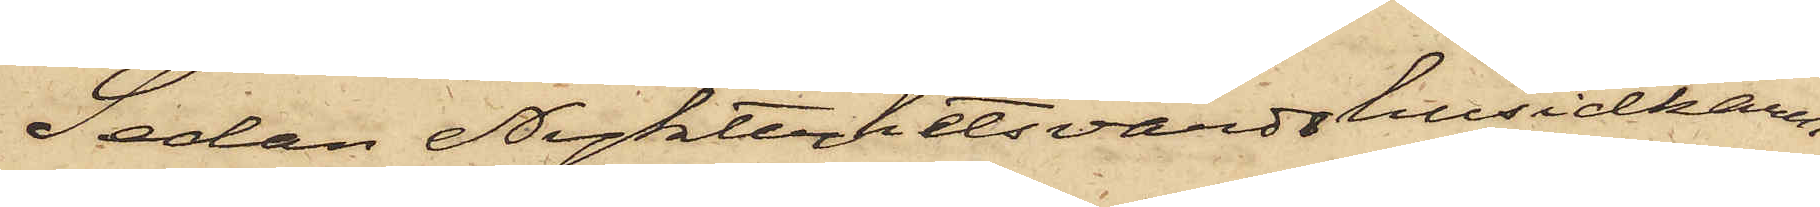Sedan Nykterhetsvärdshusidkaren
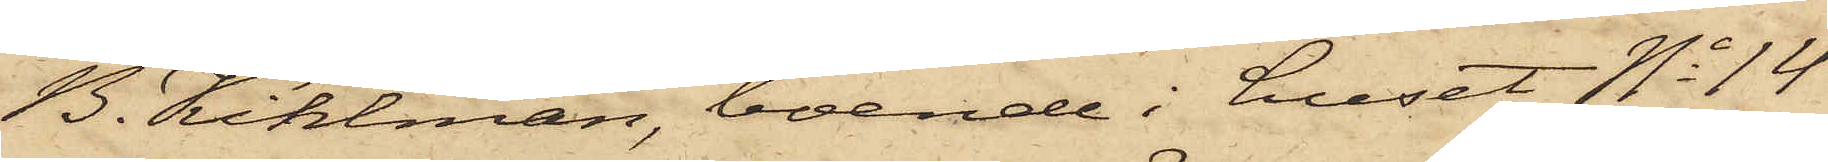B. Kihlman, boende i huset No 14
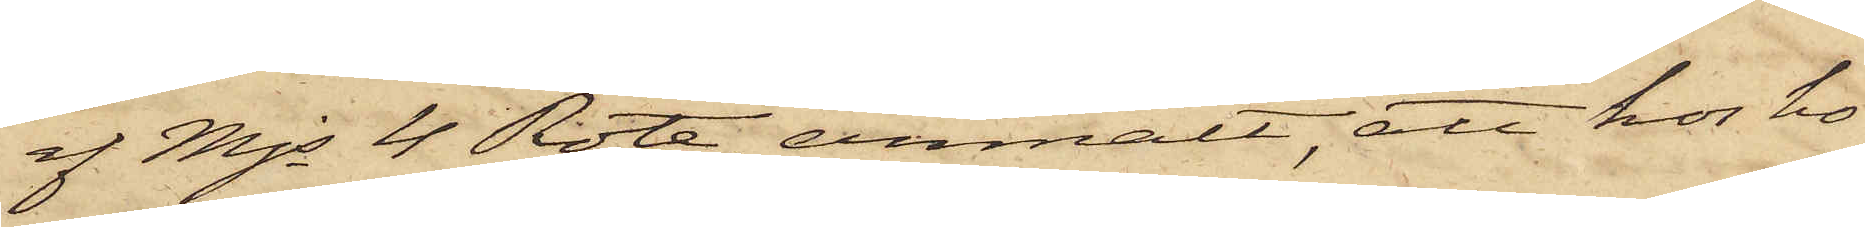af Mjs 4 Rote, anmält, att hos ho¬
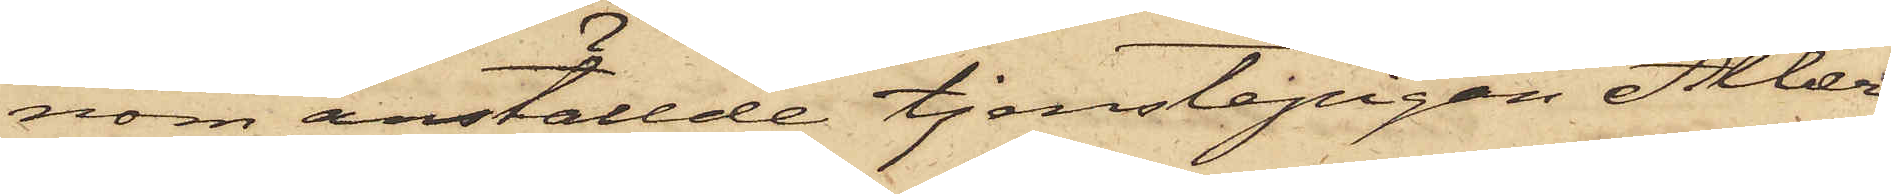nom anställde tjenstepigan Alber¬
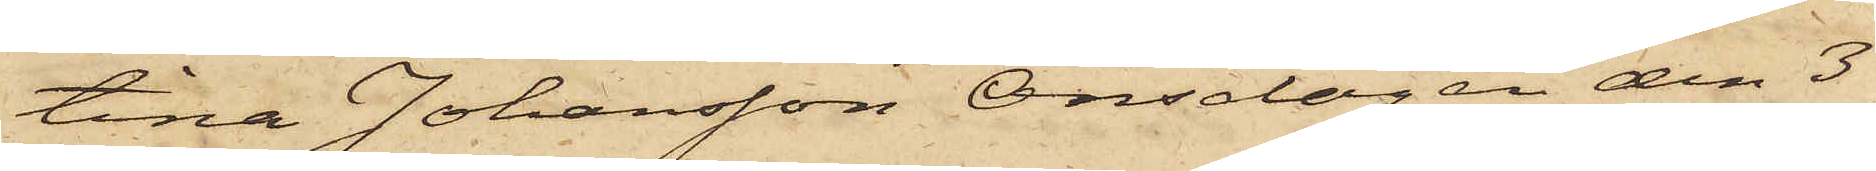tina Johansson Onsdagen den 3
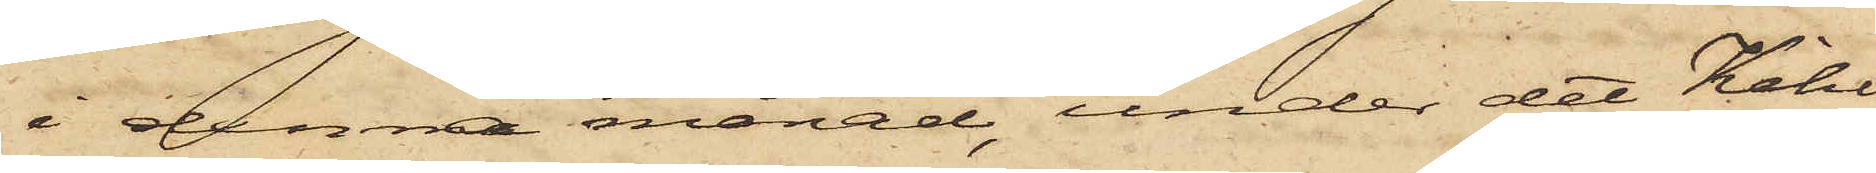i denna månad, under det Kihl¬
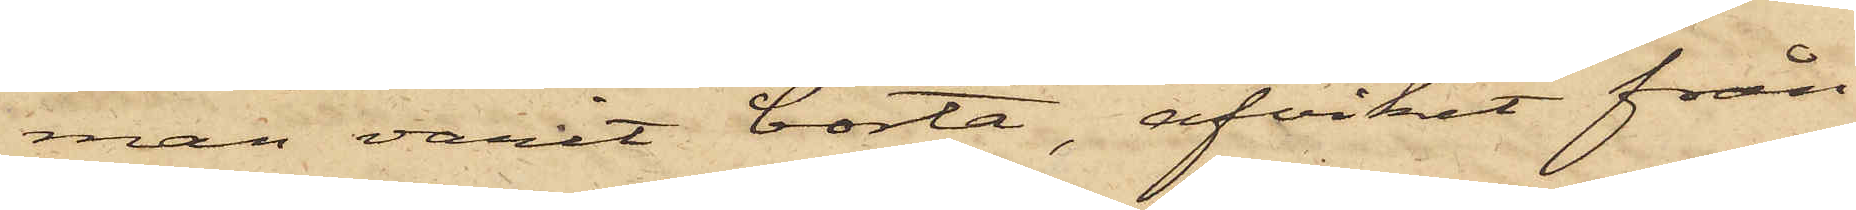man varit borta, afvikit från
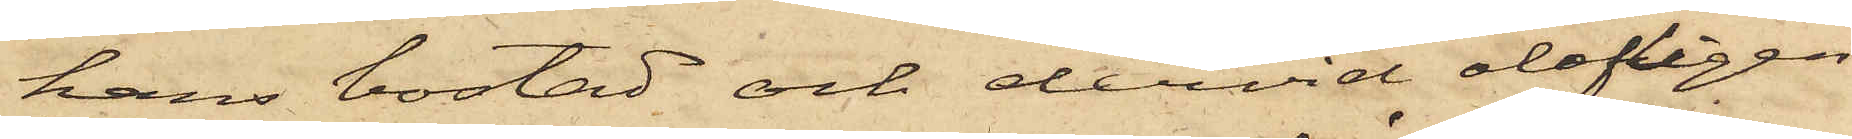hans bostad och dervid olofligen
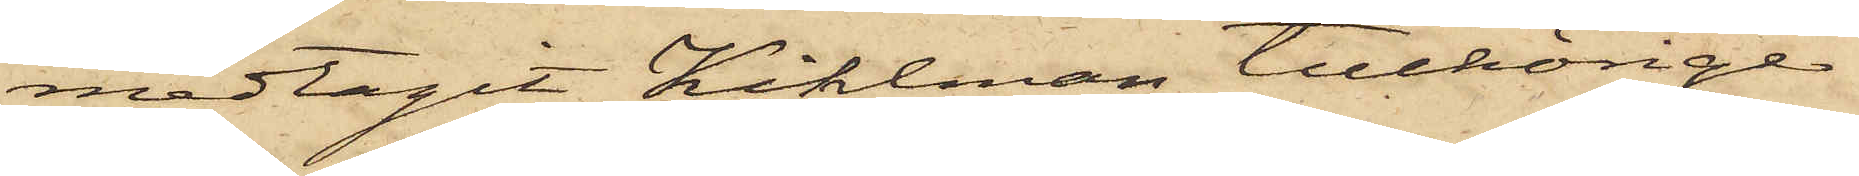medtagit Kihlman tillhörige
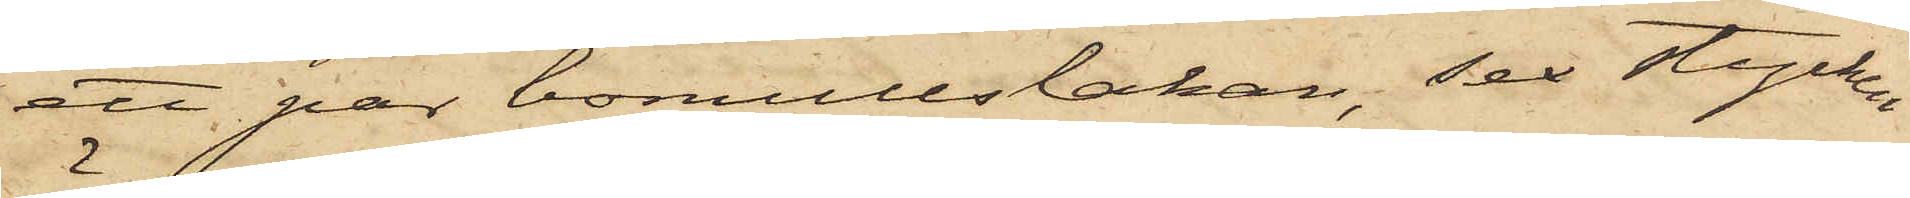att par bomullslakan, sex stycken
